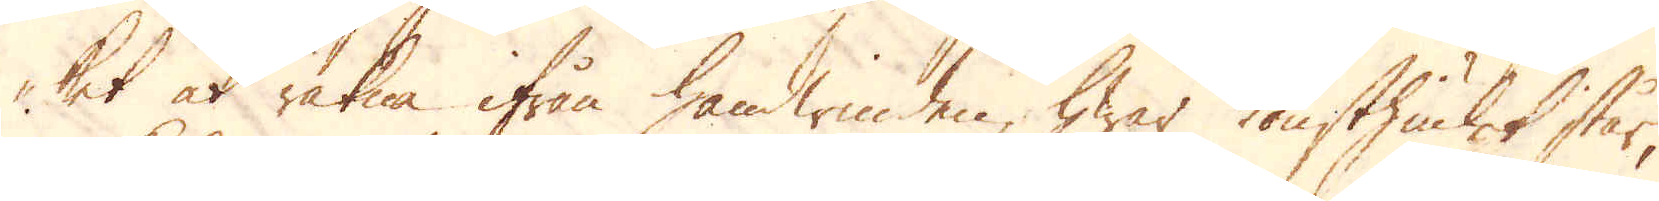ket at räkna ifrån handwinden, hwar konsthiulet står,
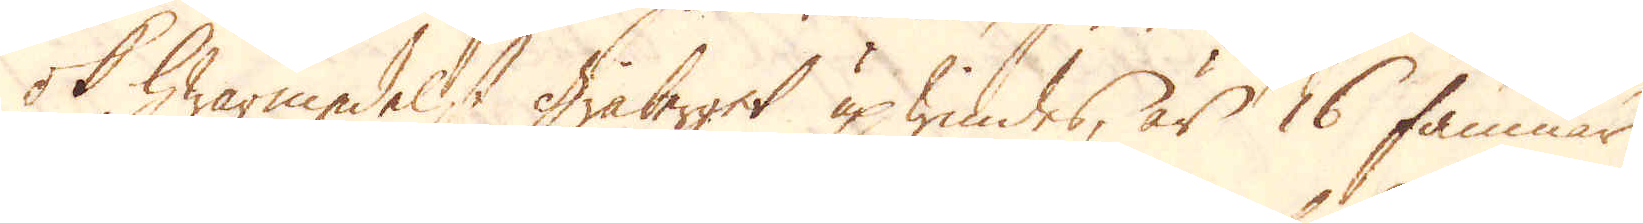ok hwarmedelst Gråberget up windes, är 16 famnar
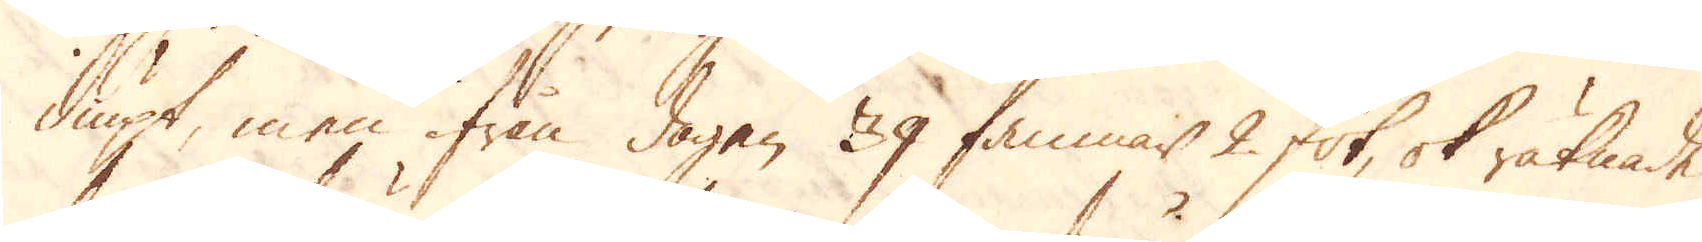diupt, men ifrån dagen 39 famnar 2 fot, ok räknade
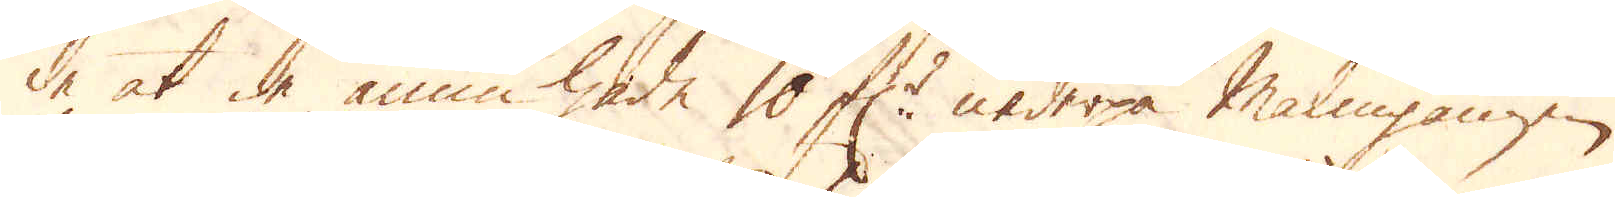de at de ännu hade 10 f:r nederpå Malmgången.
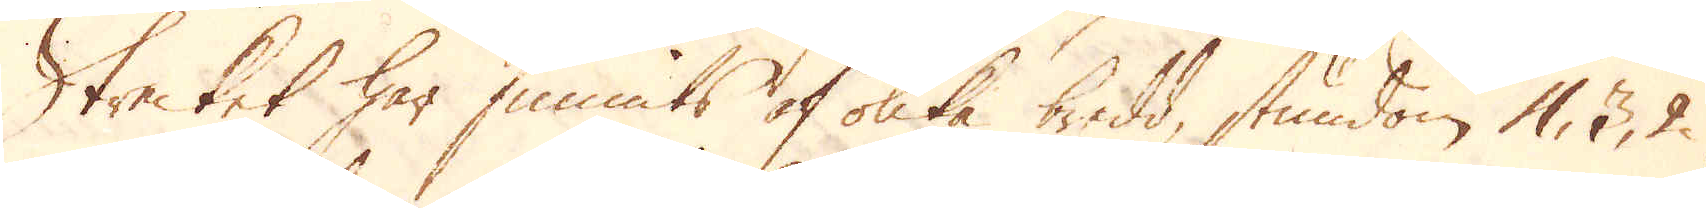Strecket har funnits af olika bredd, stundom 4, 3, 2,
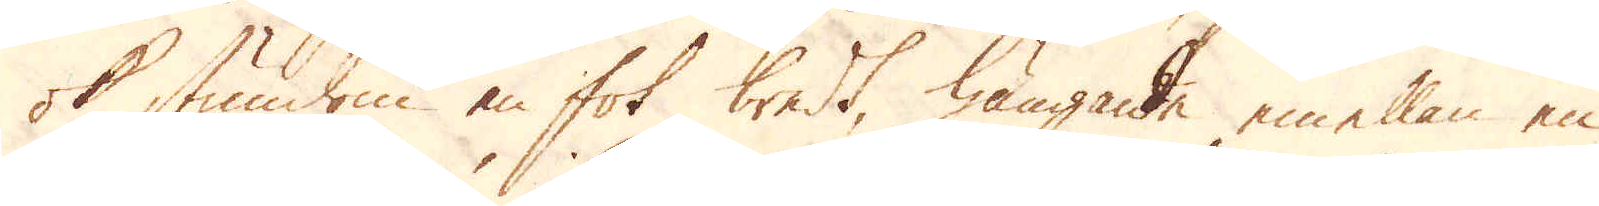ok stundom en fot bredt, hängande emellan en
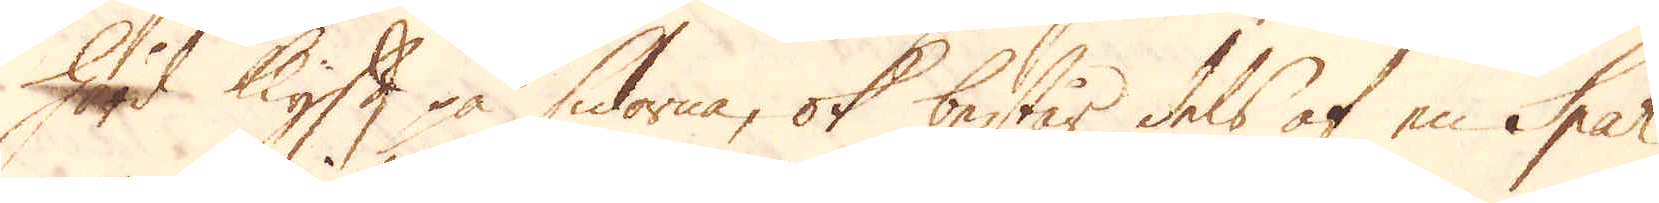hård Klyft på sidorne, ok består dels af en Spar
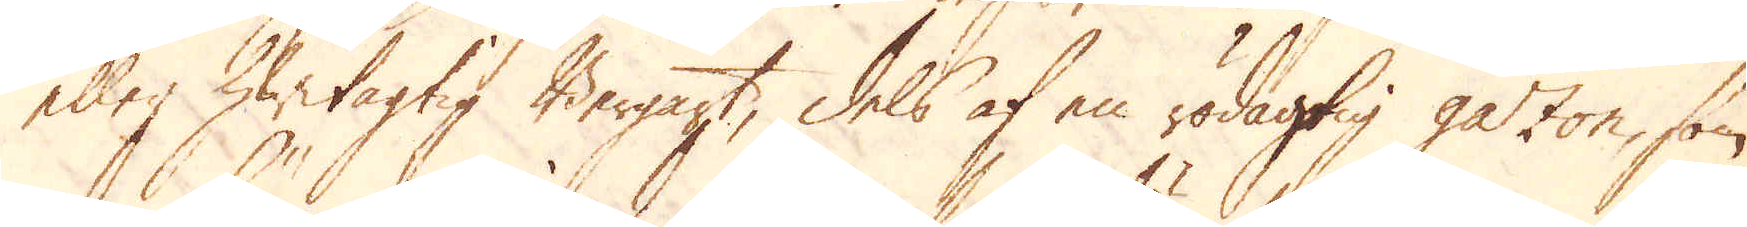eller hwitagtig Bergart, dels af en rödagtig 20 gazon, som
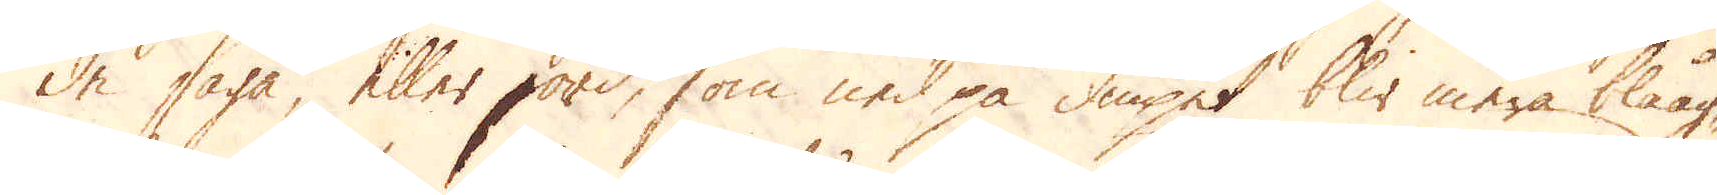de säga, eller jord, som ned på diupet blir mera blåag-
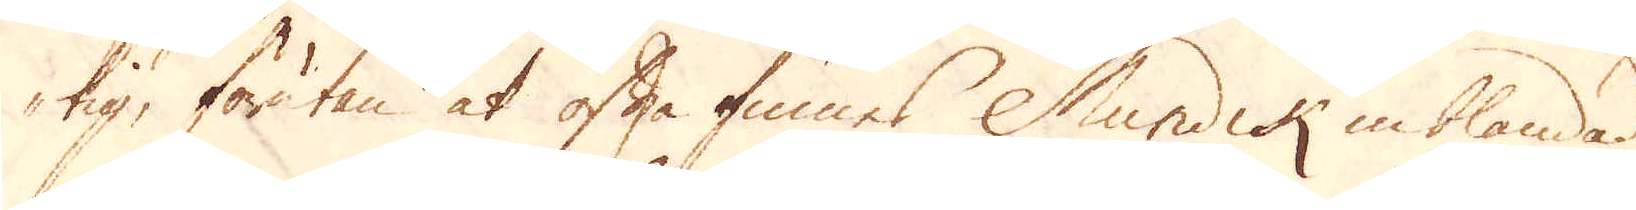tig, förutan at ofta finnes Mundik inblandad
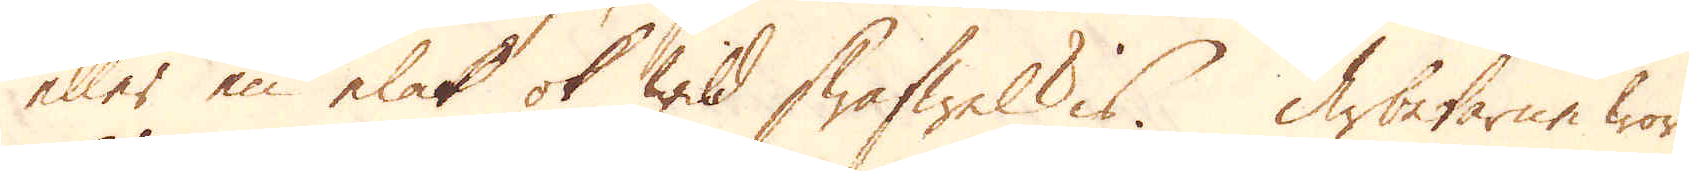eller en elak ok wild swafwelkis. Arbetarne woro
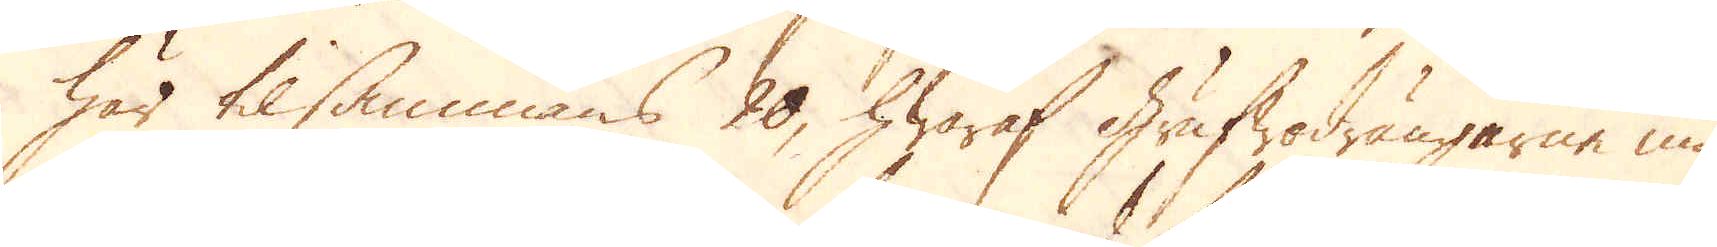här tilsammans 20, hwaraf Grufwodrängarne niu-
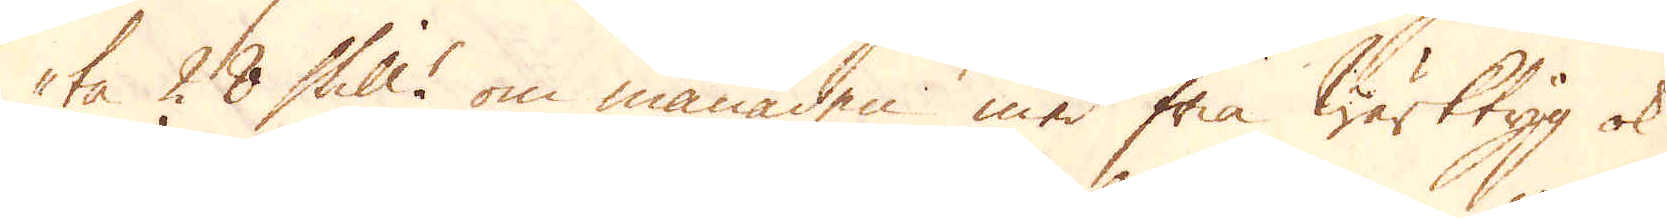ta 28 Skill:r om månaden med fria Wärktyg ok
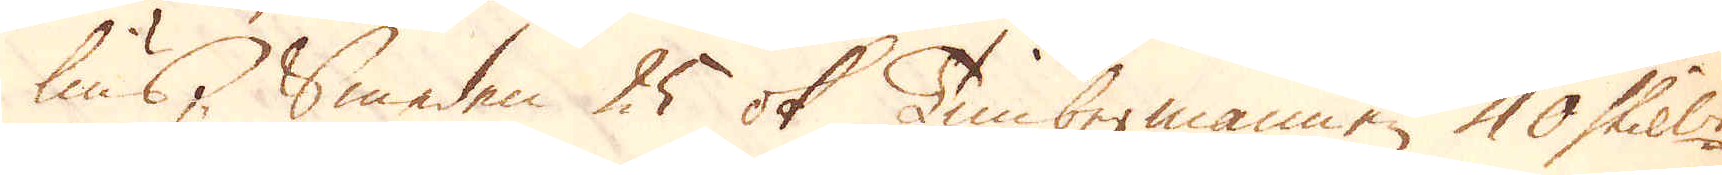lius, Smeden 25 ok Timbermannen 40 Skill:r.
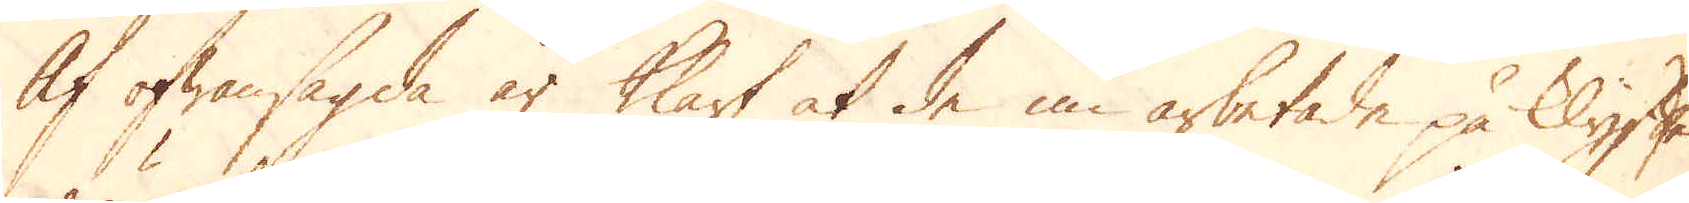Af ofwansagda är klart at de nu arbetade på klyften,
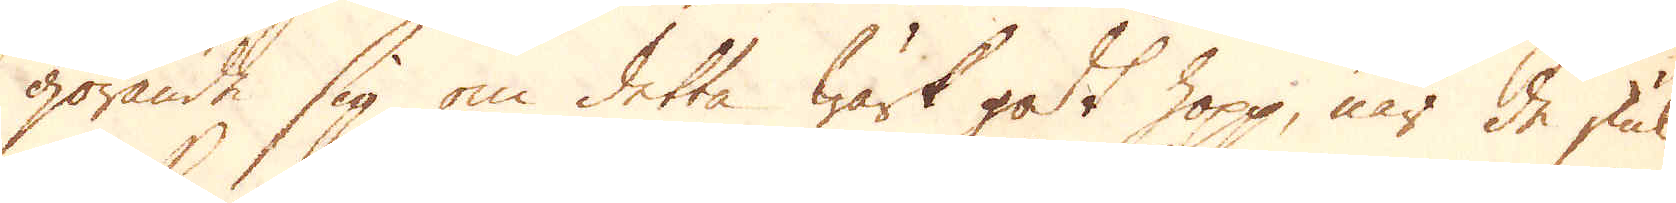görande sig om detta Wärk godt hopp, när de skul-
